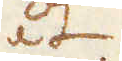åt
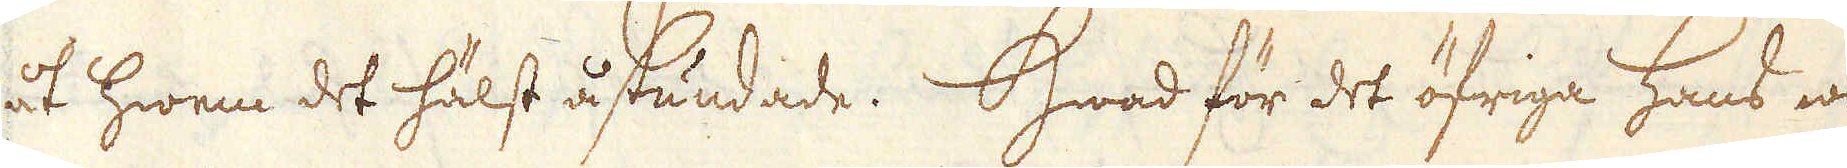åt hwem det hälst åstundade.  Hwad för det öfriga hans wil-
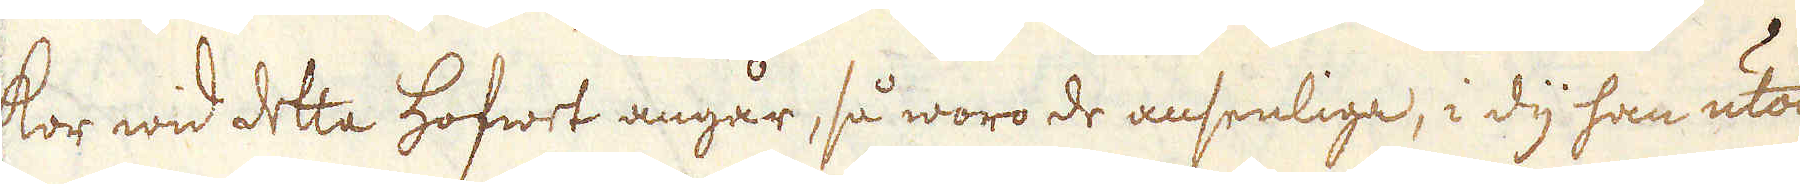kor wid detta hofwet angår, så woro de ansenliga, i dy han utan
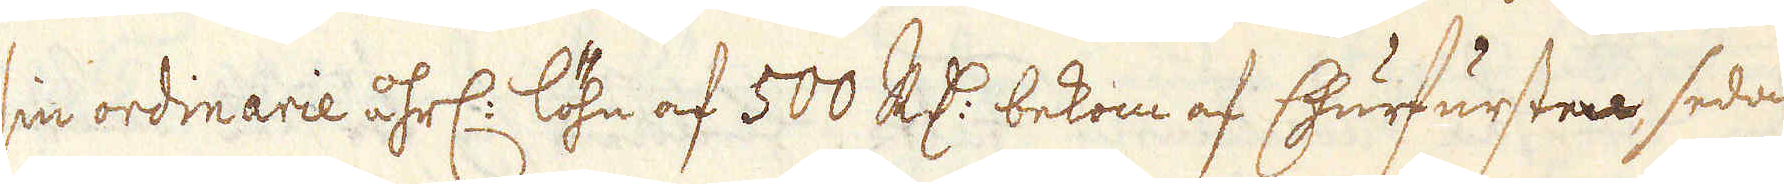sin ordinarie åhrl: löhn af 500 R:dr bekom af Churfursten, sedan
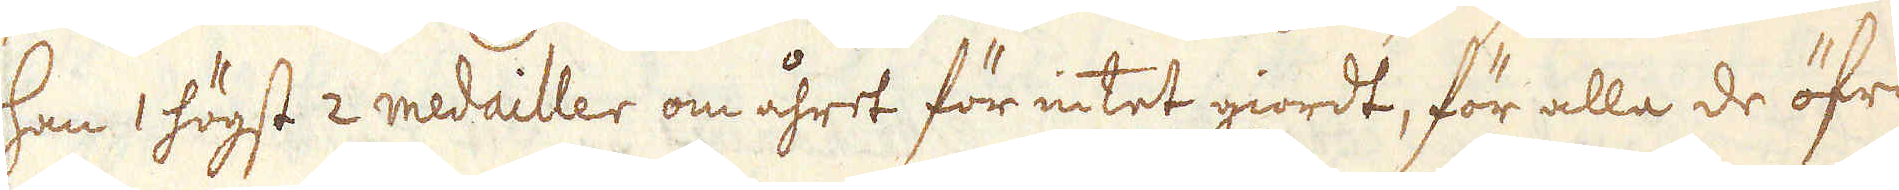han 1 högst 2 medailler om åhret för intet giordt, för alla de öfri-
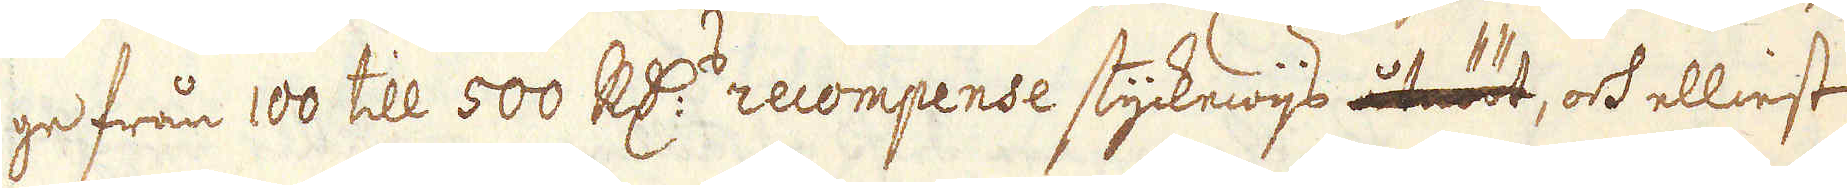ge från 100 till 500 R:dr recompense styckewijs, och ellinst
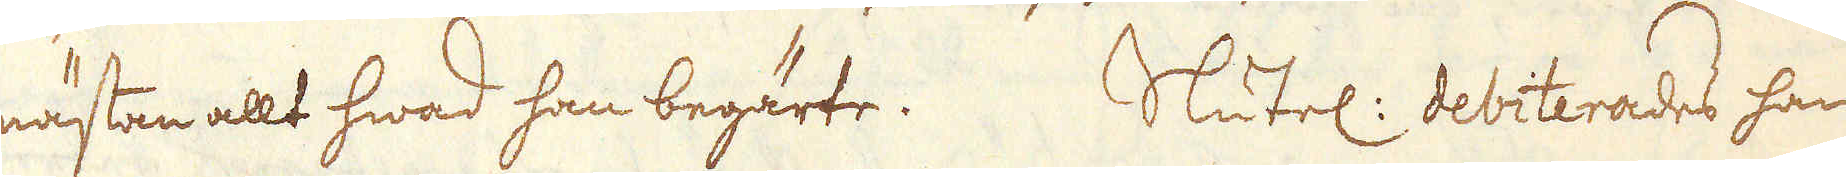nästan allt hwad han begärte. Slutel: debiterades han
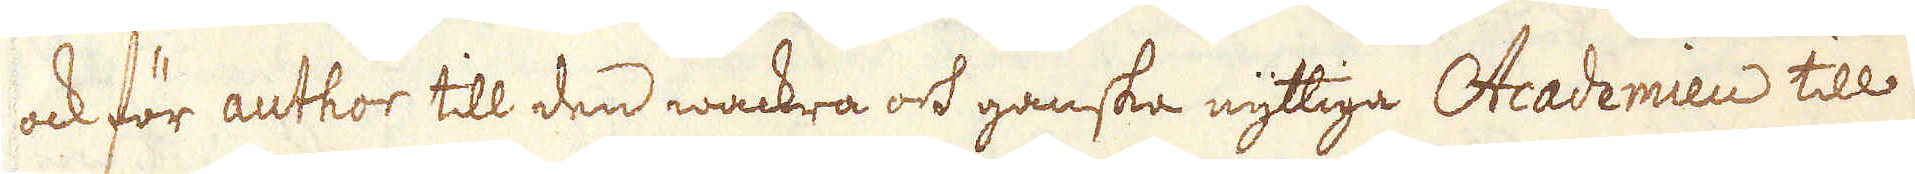ock för author till den wackra ock ganska nyttiga Academien till
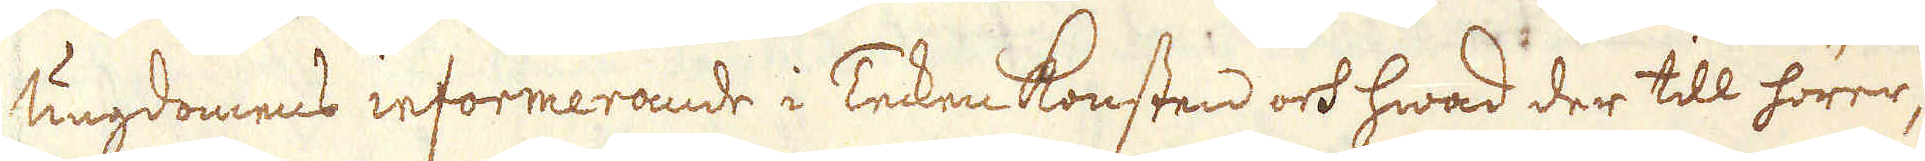ungdomens informerande i Tecken konsten och hwad der till hörer,
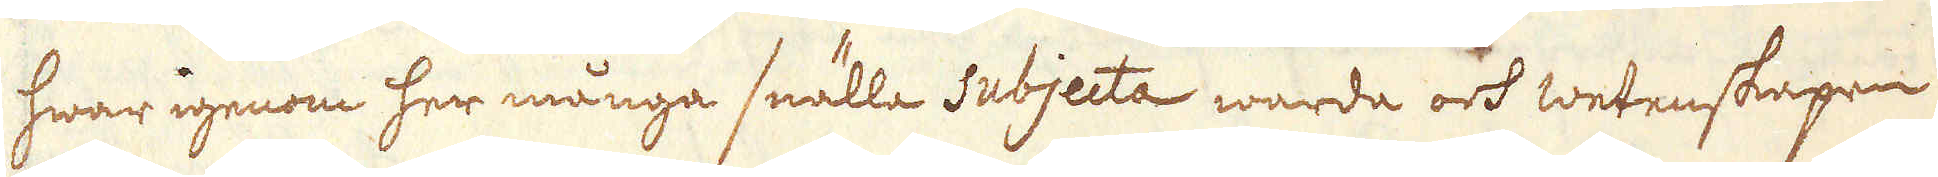hwarigenom her många snälle subjecta warde och wetenskapen
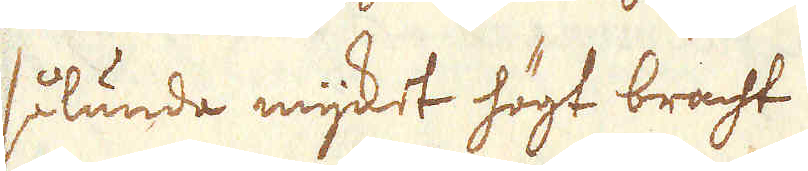sålunda mycket högt bracht.
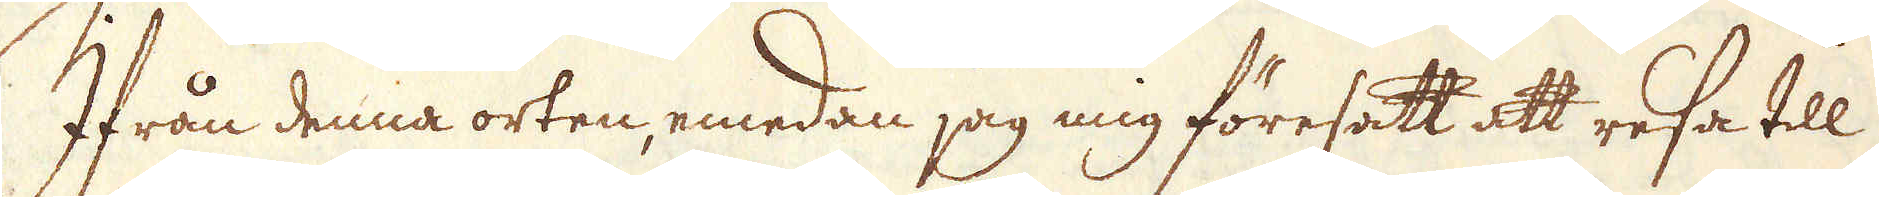Ifrån denna orten, emedan jag mig föresatt att resa till
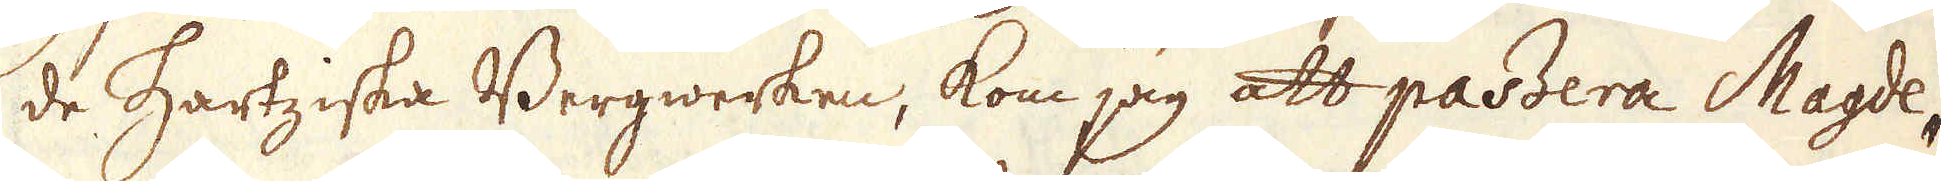de Hartziska Bergwerken, kom jag att passera Magde-
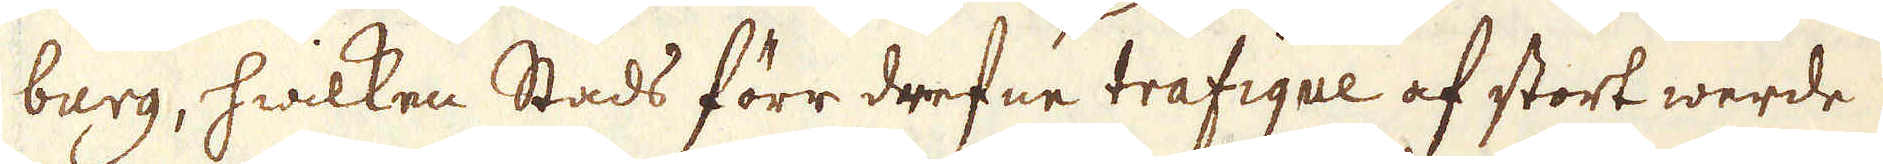burg, hwilken Stads förr drefne trafique af stort werde
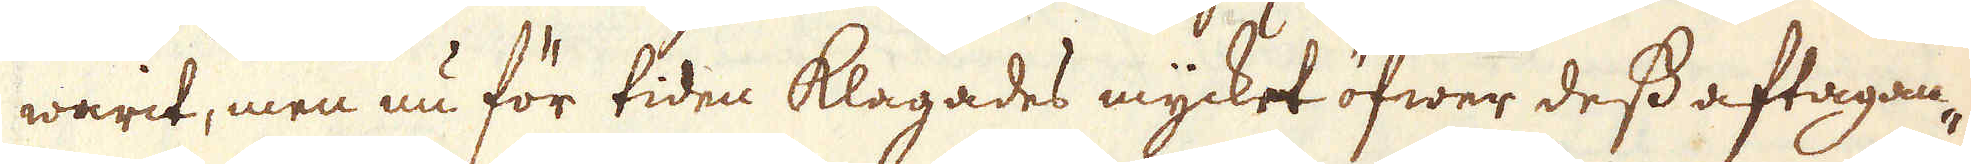warit, men nu för tiden klagades mycket öfwer dess aftagan-
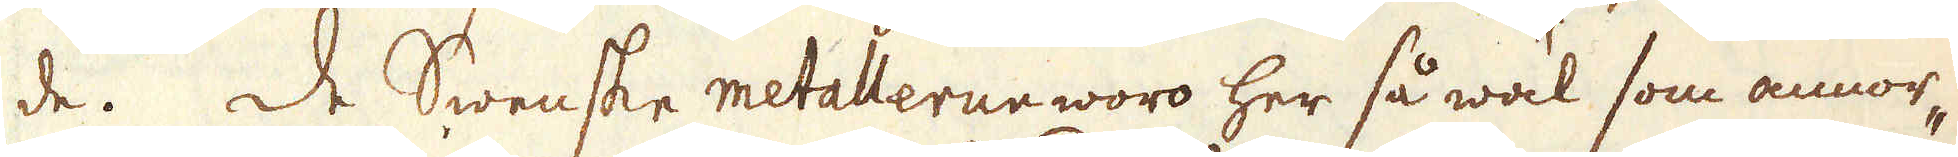de. De Swenske metallerne woro her så wäl som annor-
